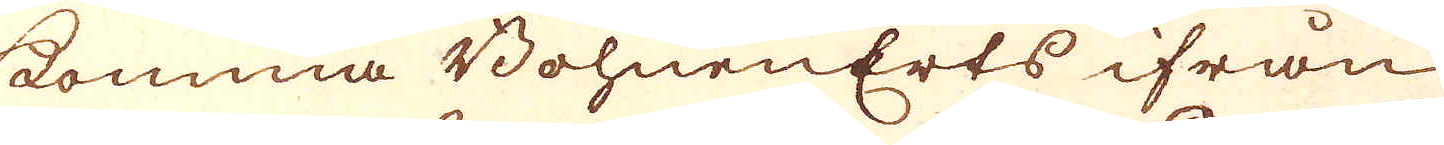komma BohnenErts ifrån
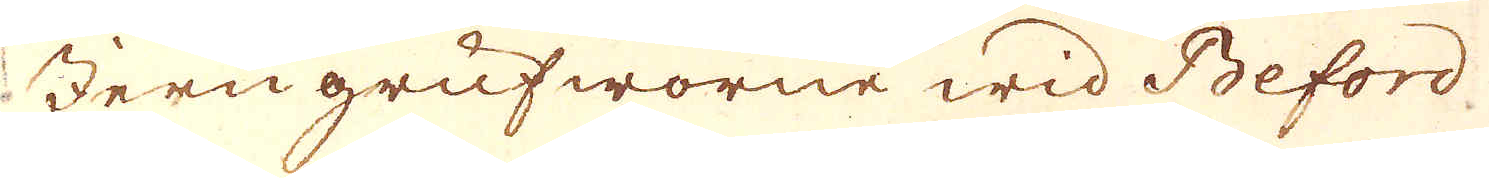Jern grufworne wid Beford
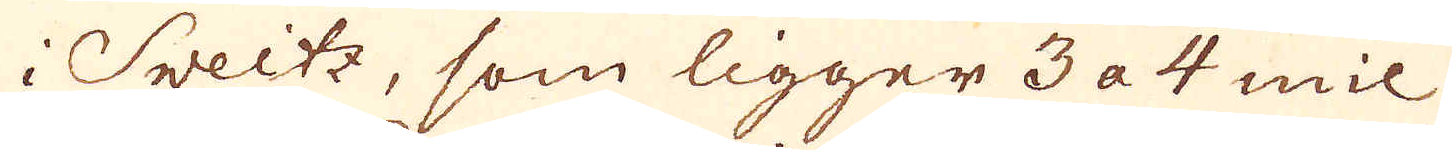i Sveitz, som ligger 3 a 4 mil
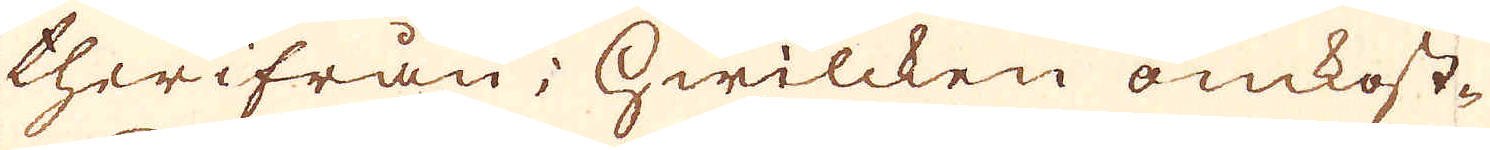therifrån; hwilcken omkost-
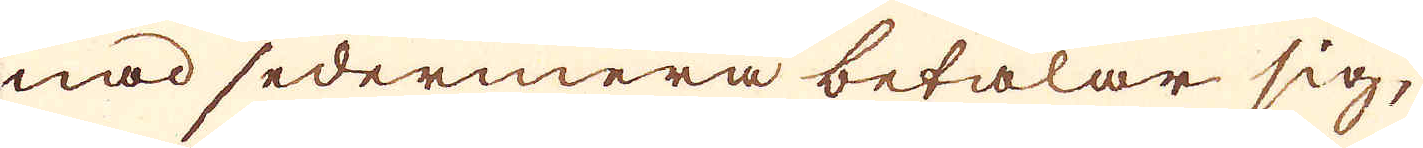nad sedermera betalar sig,
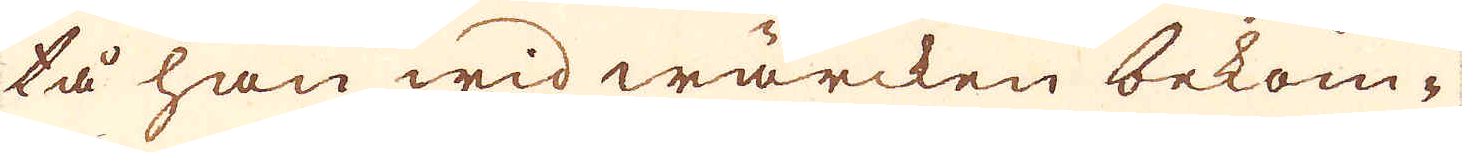tå han wid wärcken bekom-
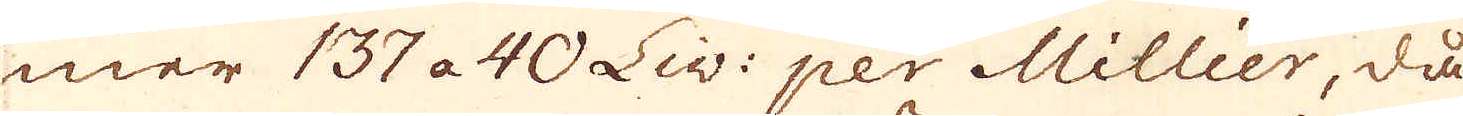mer 137 a 40 Liv: per Millier, då
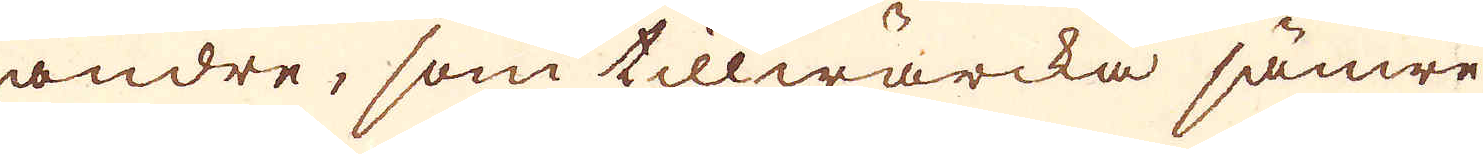andre, som tillwärcka jämre
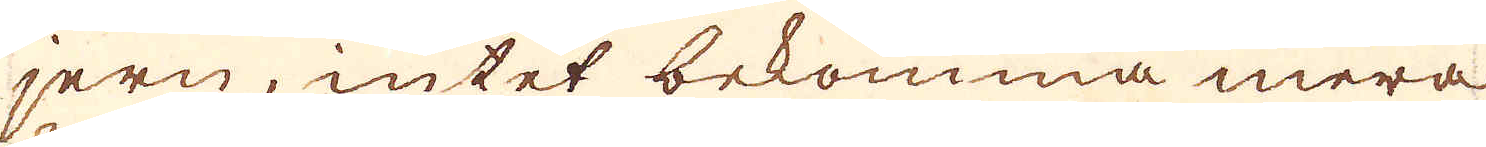jern, intet bekomma mera
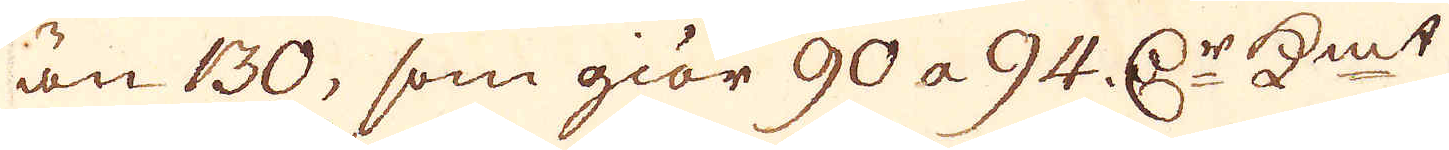än 130, som giör 90 a 94. r:Dr K:mt
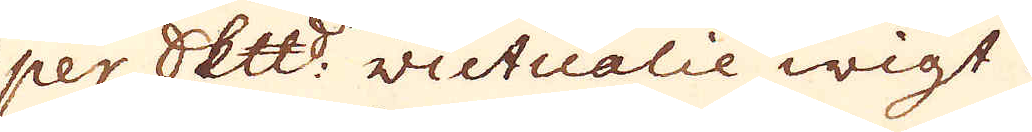per Skeppund victualie wigt.
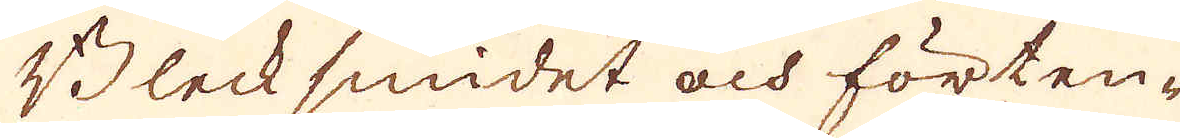Blecksmidet och förten-
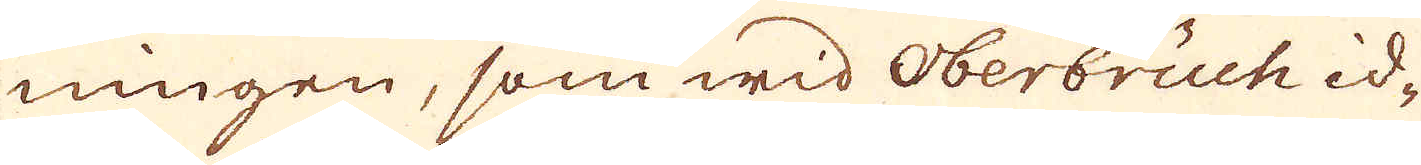ningen, som wid Oberbruch id-
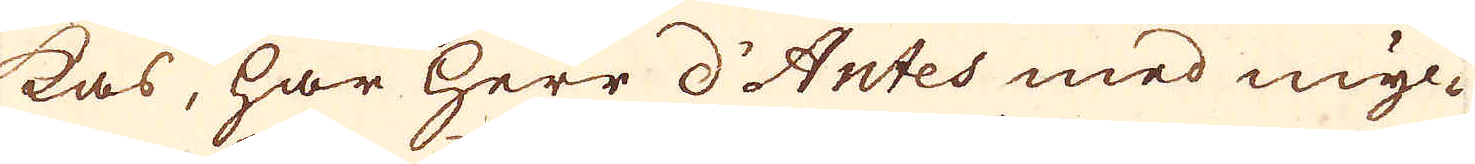kas, har Herr d'Antes med myc-
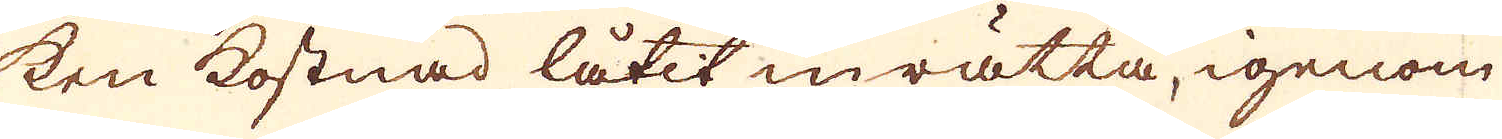ken kostnad låtit inrätta, igenom
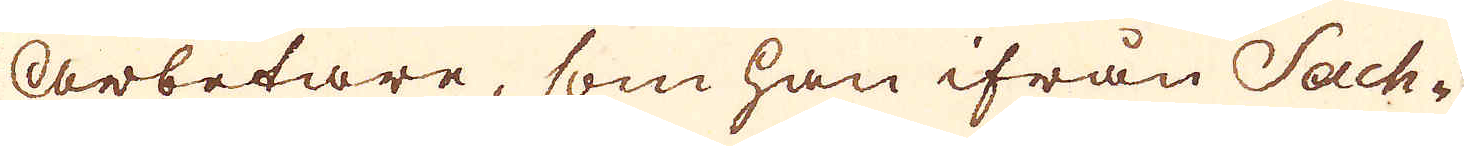Arbetare, som han ifrån Sach-
